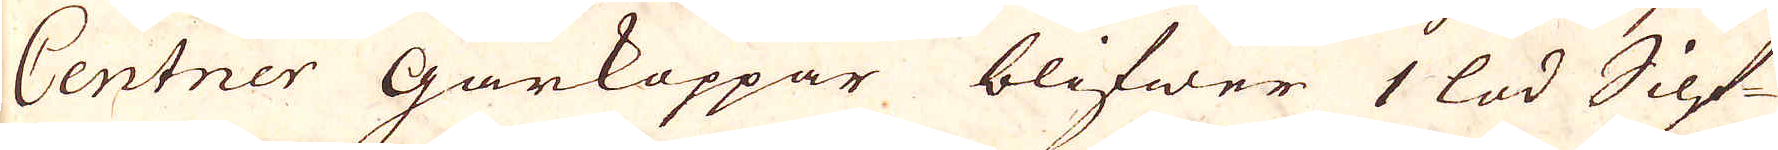Centner Gårkoppar blifwer 1 lod Silf-
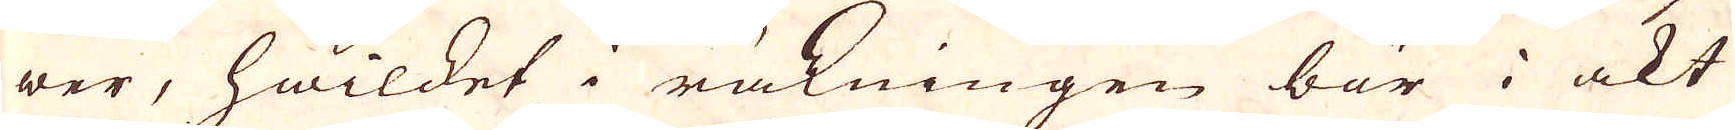wer, hwilket i räkningen bör i akt
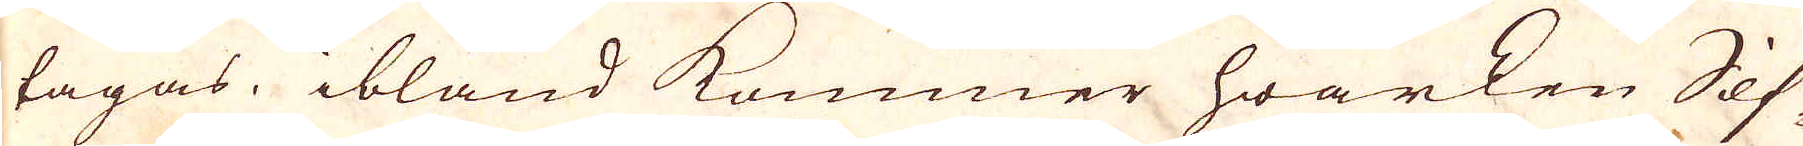tagas, ibland kommer hwarken Silf-
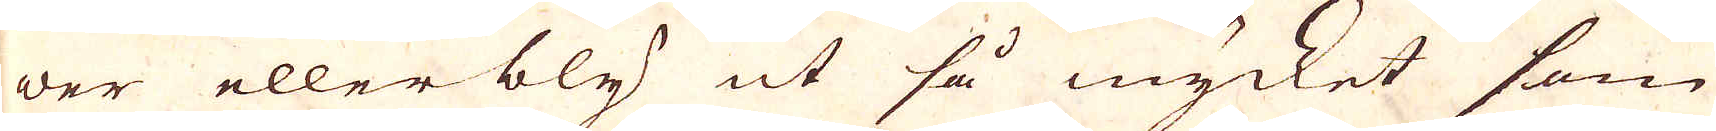wer eller bly ut så mycket som
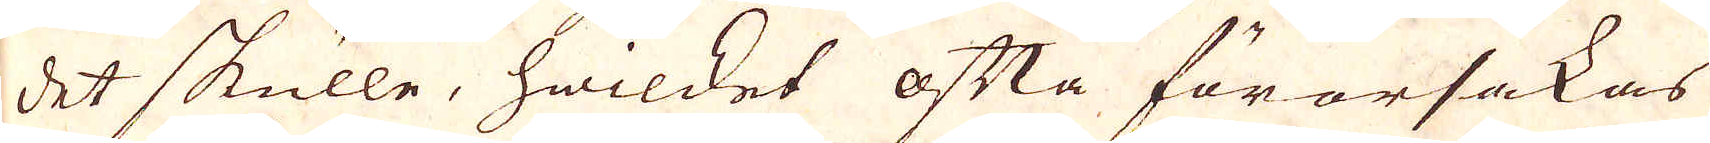det skulle, hwilket ofta förorsakas
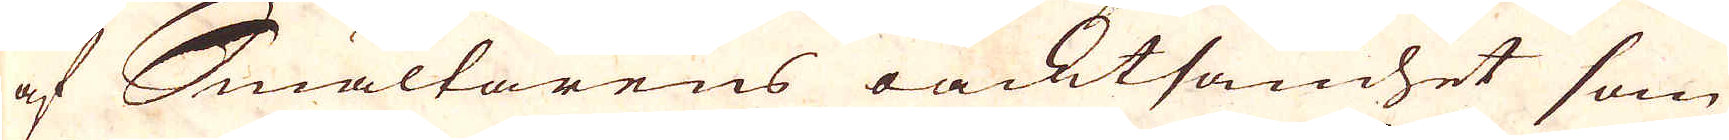af Smältarens oacktsamhet som
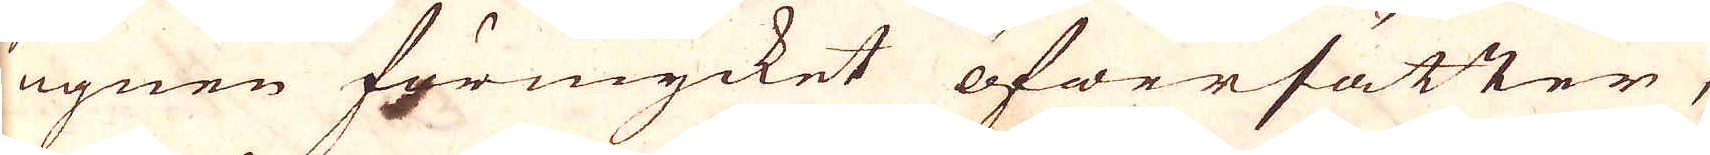ugnen förmycket öfwerhätter,
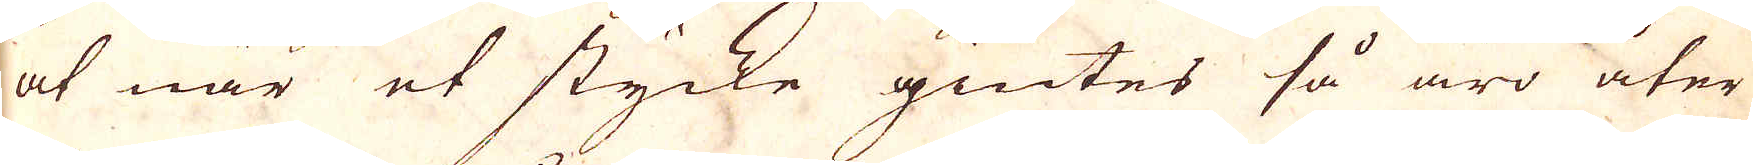at när et stycke giutes så äro åter
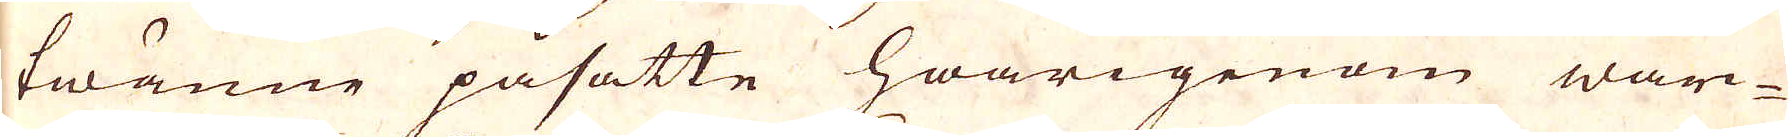twänne påsatte hwarigenom wär-
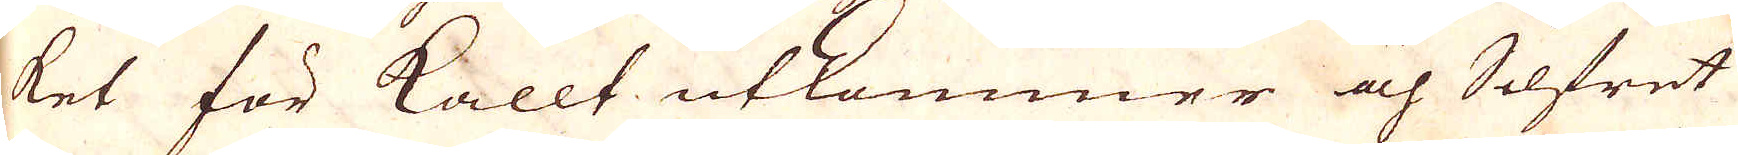ket för kallt utkommer och Silfret
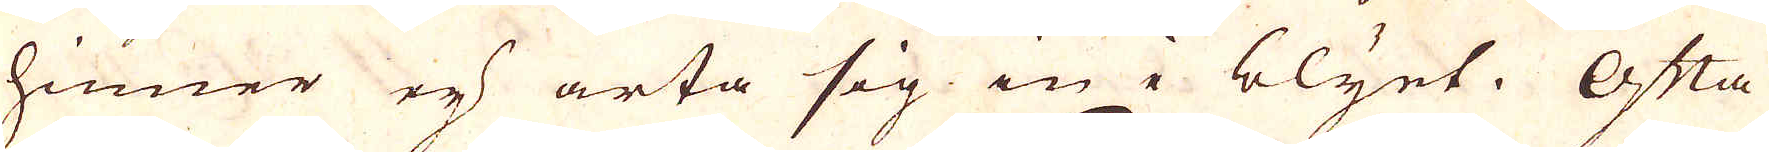hinner ej arta sig in i blyet. Ofta
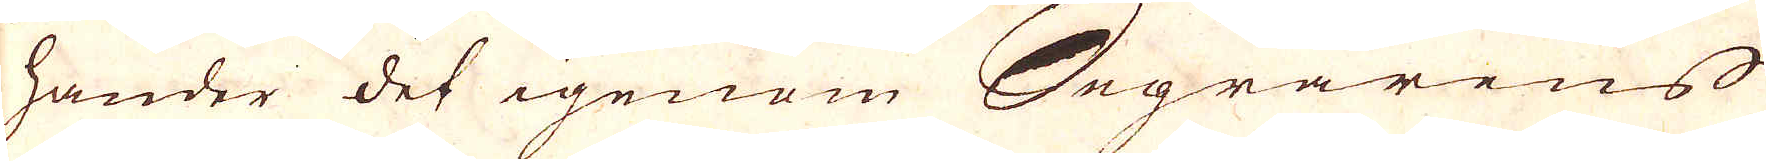hander det igenom Segrarens
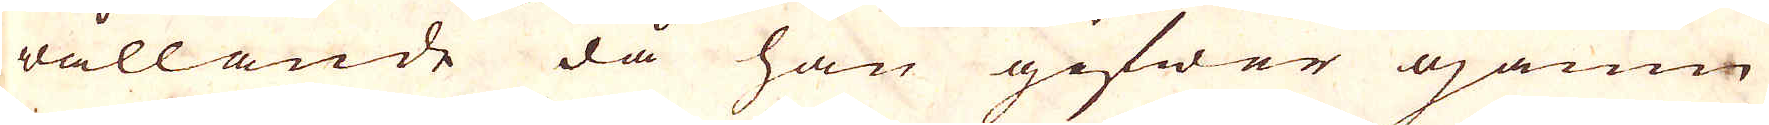vållande då han gifwer ojämn
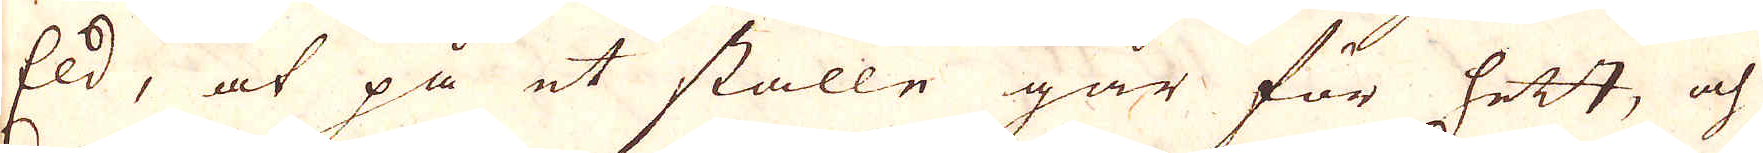Eld, at på et ställe går för hett, och
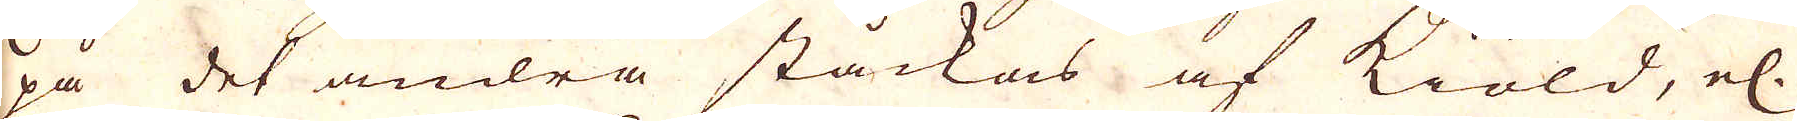på det andra ståckas af kiöld, el.
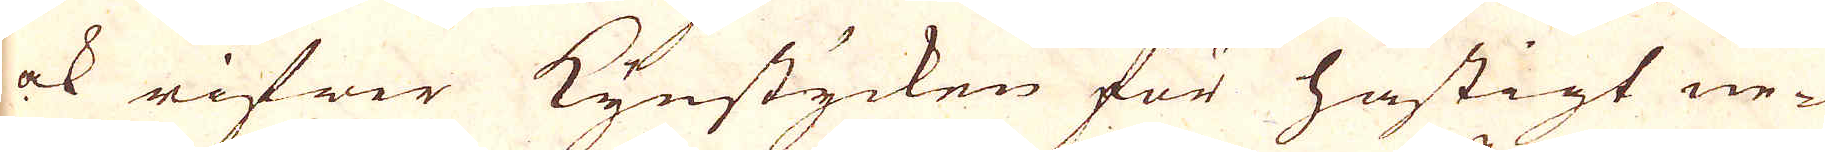ock rifwer Kynstycken för hastigt ne-
